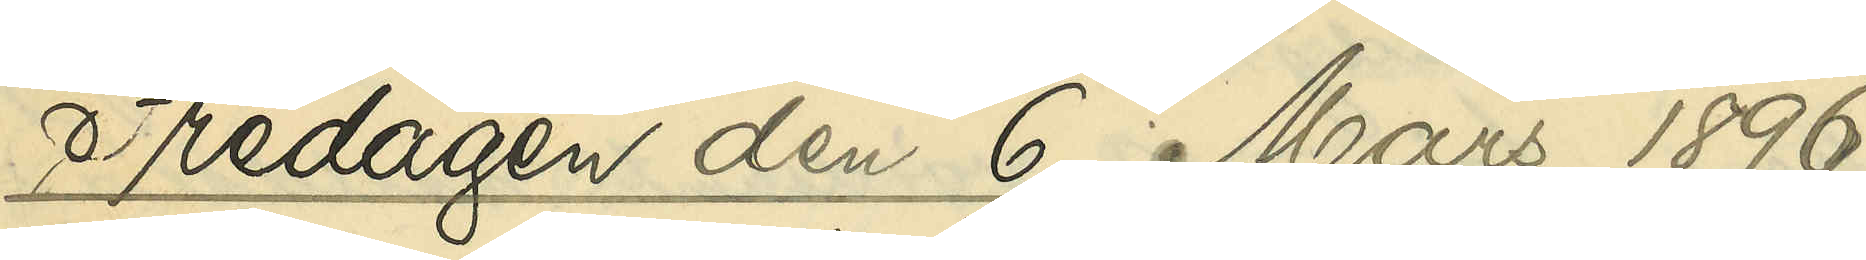Fredagen den 6 Mars 1896
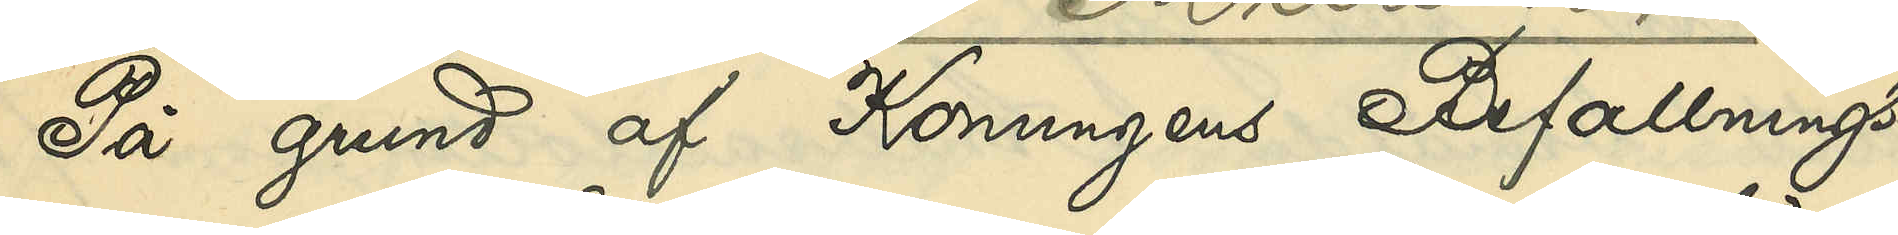På grund af Konungens Befallnings¬
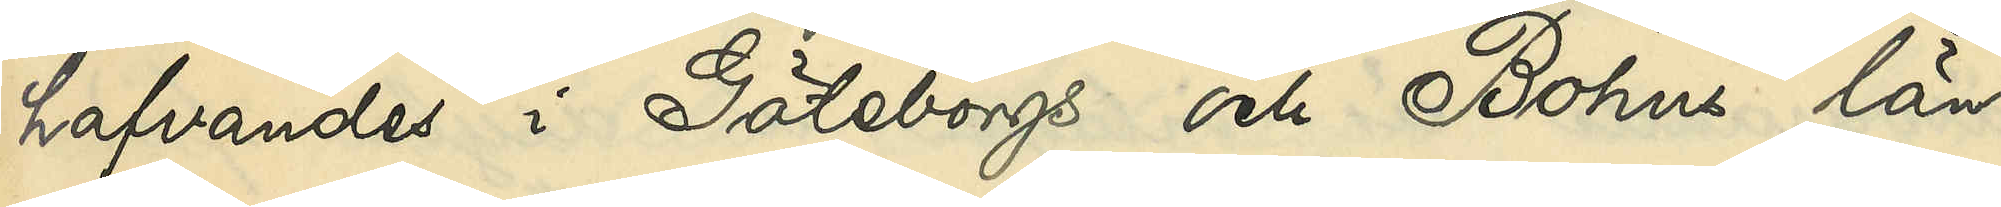hafvandes i Göteborgs och Bohus län
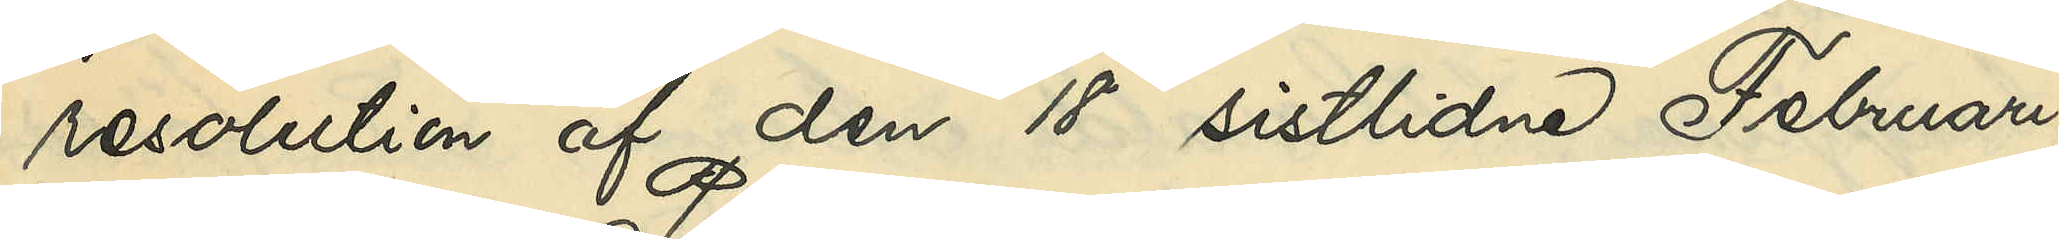resolution af den 18 sistlidne Februari,
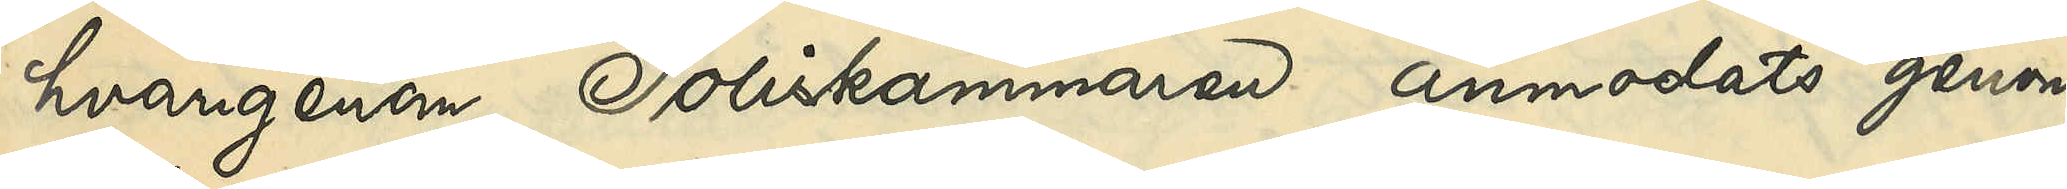hvarigenom Poliskammaren anmodats genom
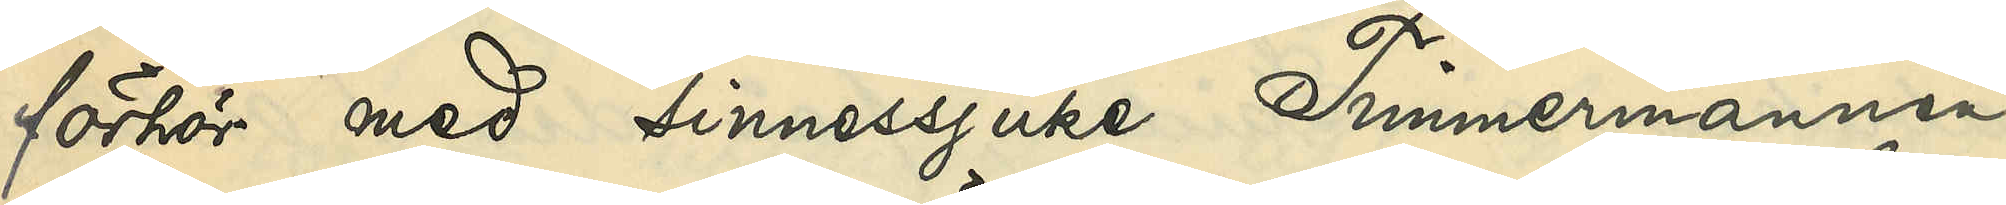förhör med sinnessjuke Timmermannen
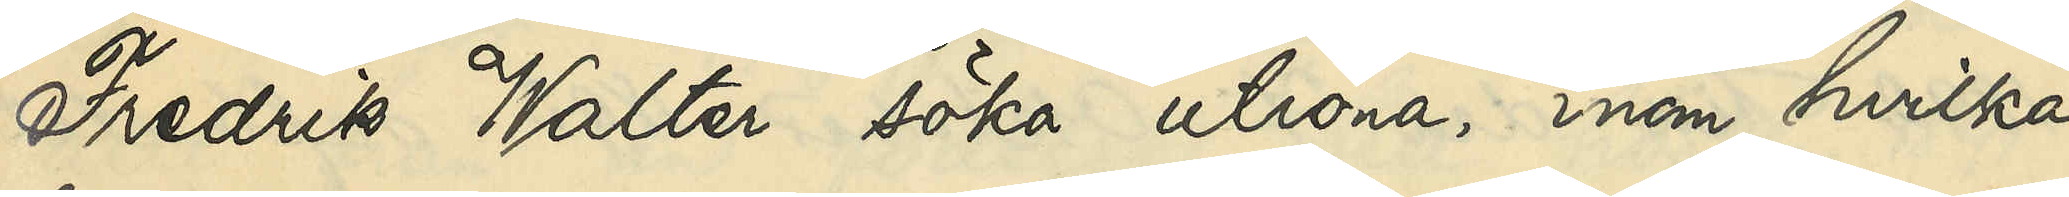Fredrik Walter söka utröna, inom hvilka
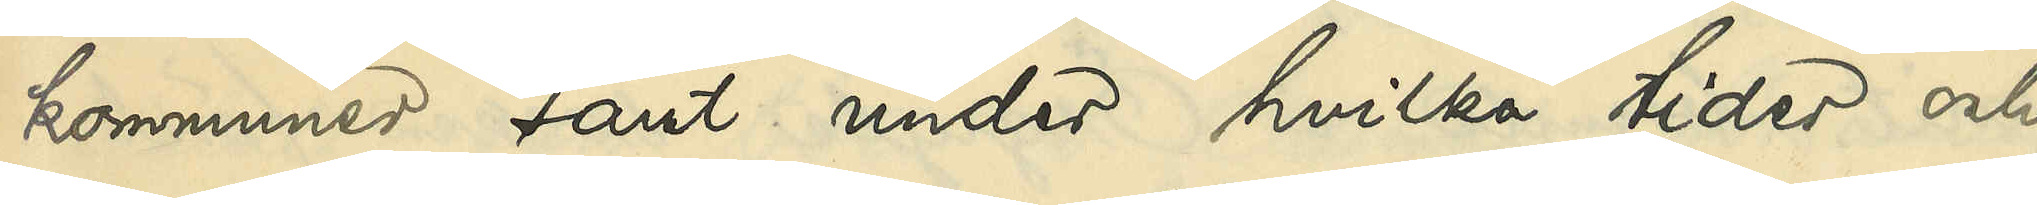kommuner samt under hvilka tider och
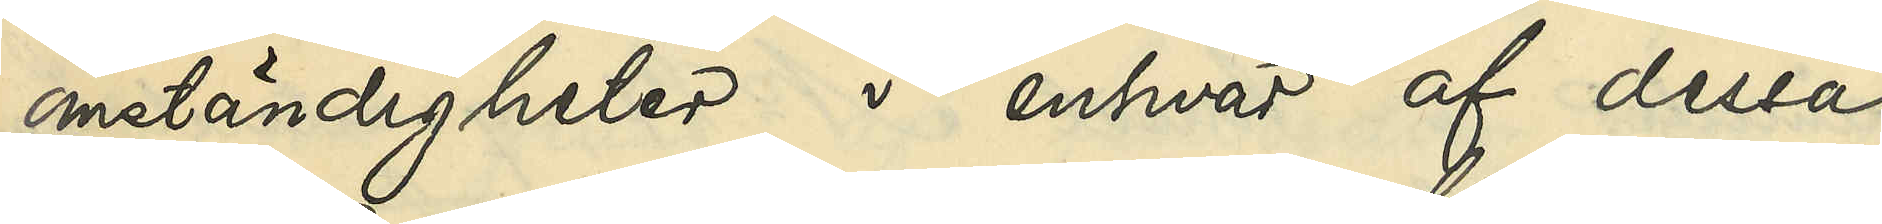omständigheter i enhvar af dessa
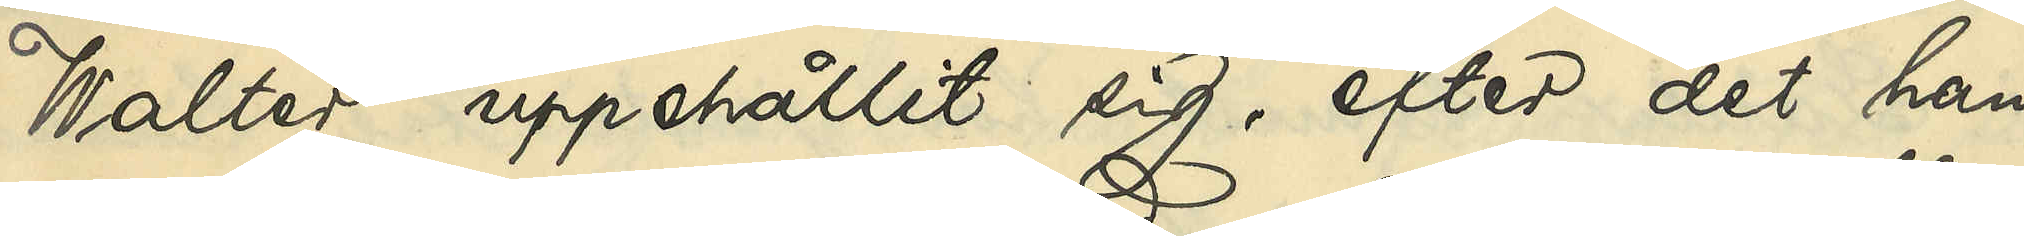Walter uppehållit sig, efter det han
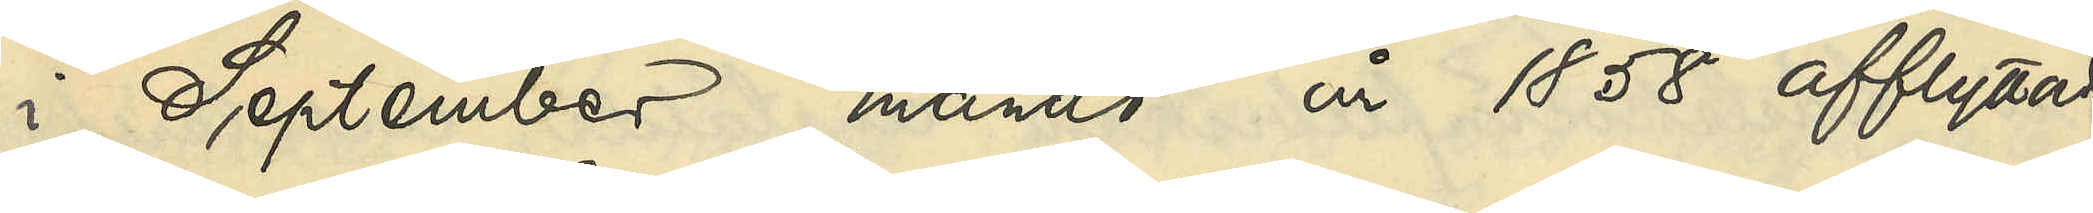i September månad år 1858 afflyttade
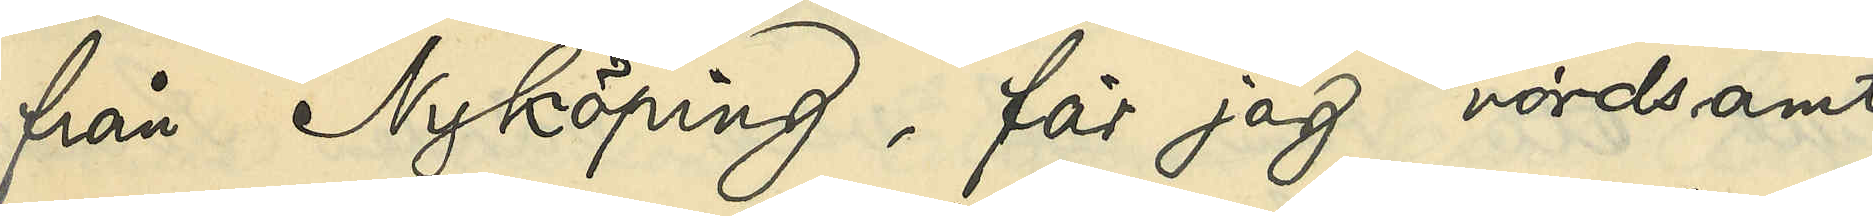från Nyköping, får jag vördsamt
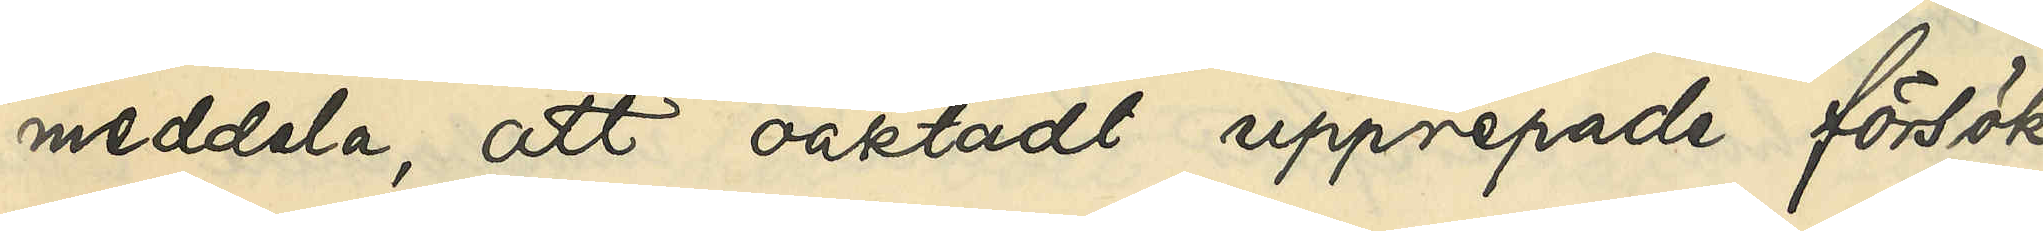meddala, att oaktadt upprepade försök
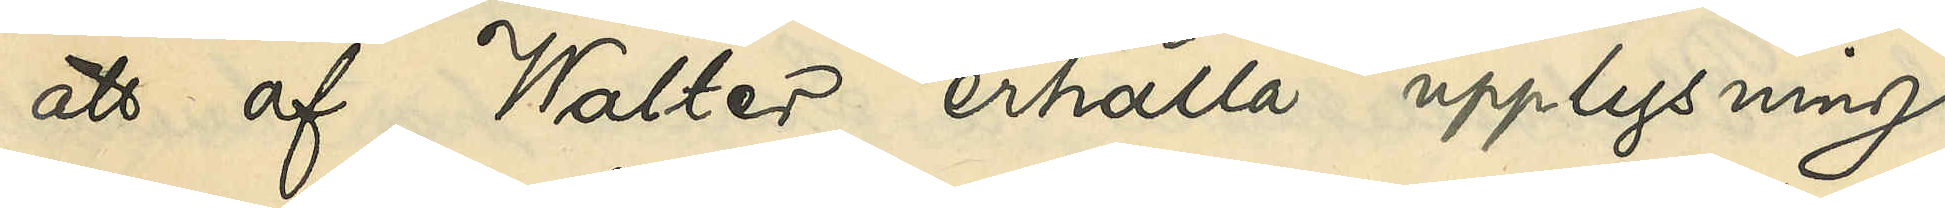att af Walter erhålla upplysning
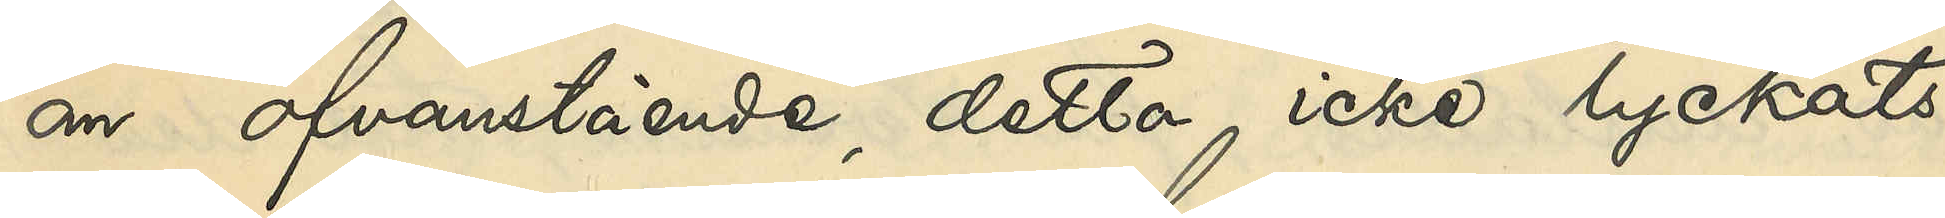om ofvanstående, detta icke lyckats,
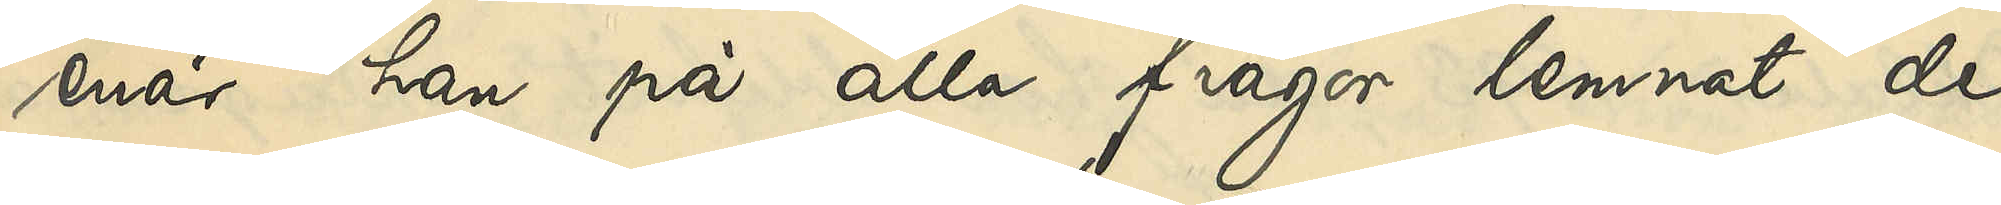enär han på alla frågor lemnat de
